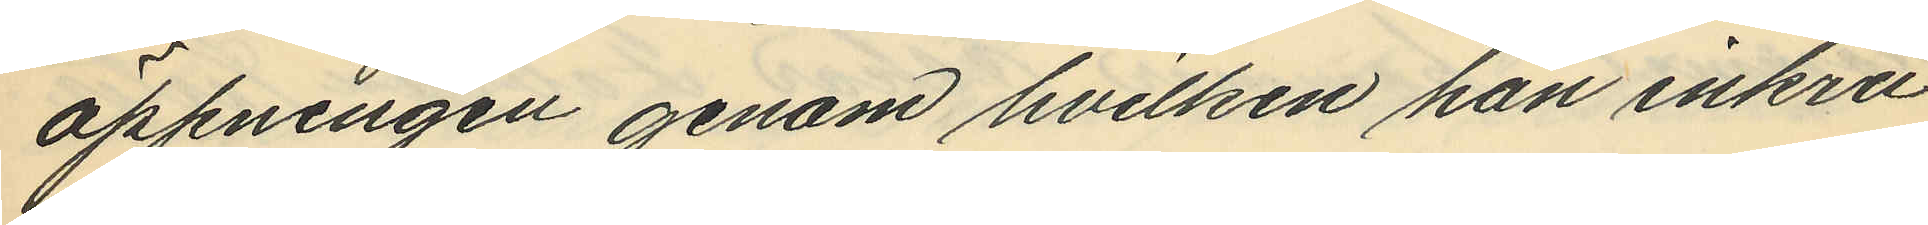öppningen genom hvilken han inkru¬
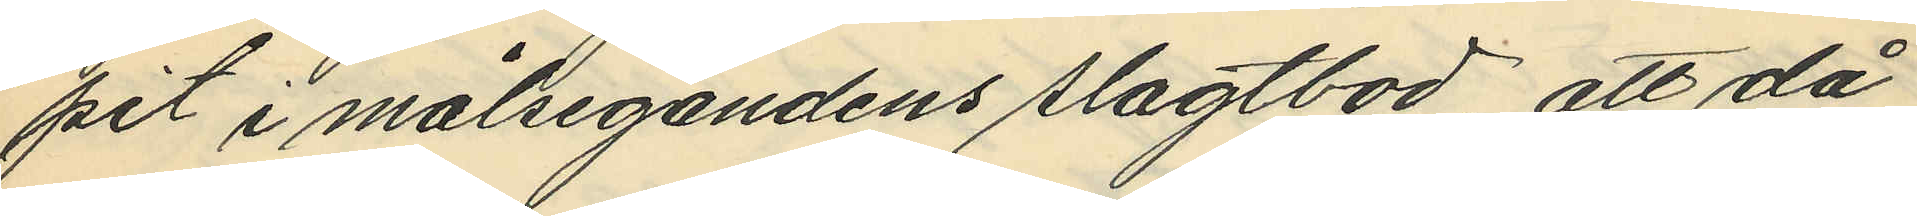pit i målsegandens slagtbod, att då
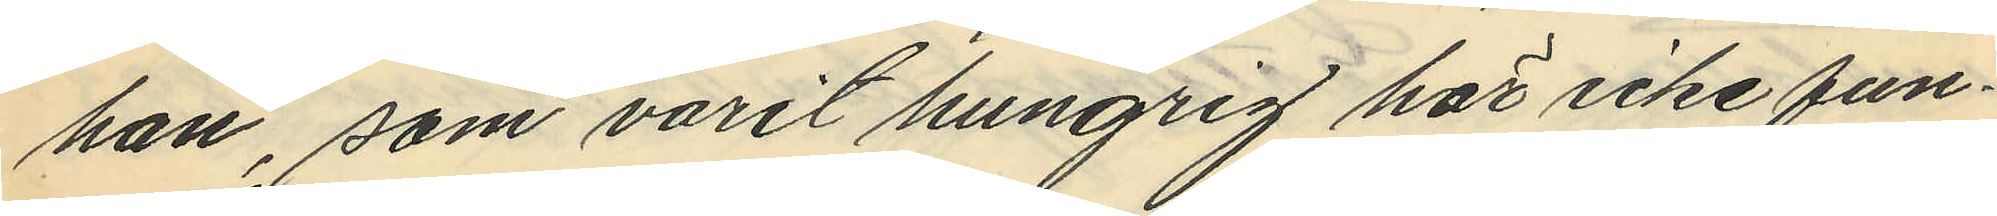han, som varit hungrig här icke fun¬
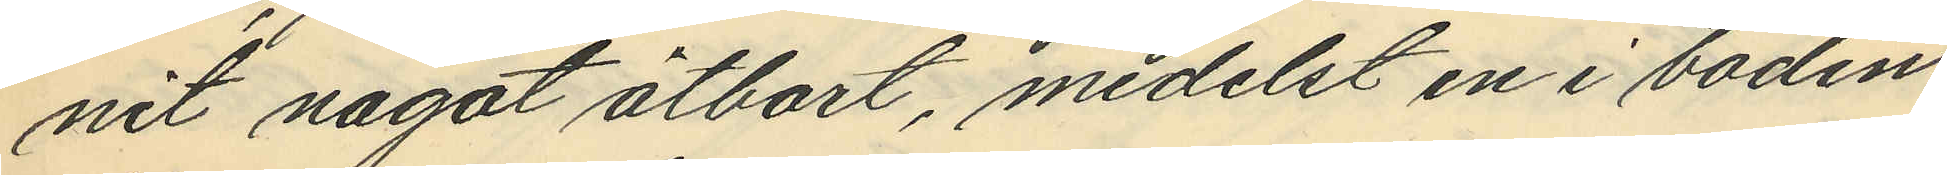nit något ätbart, medelst en i boden
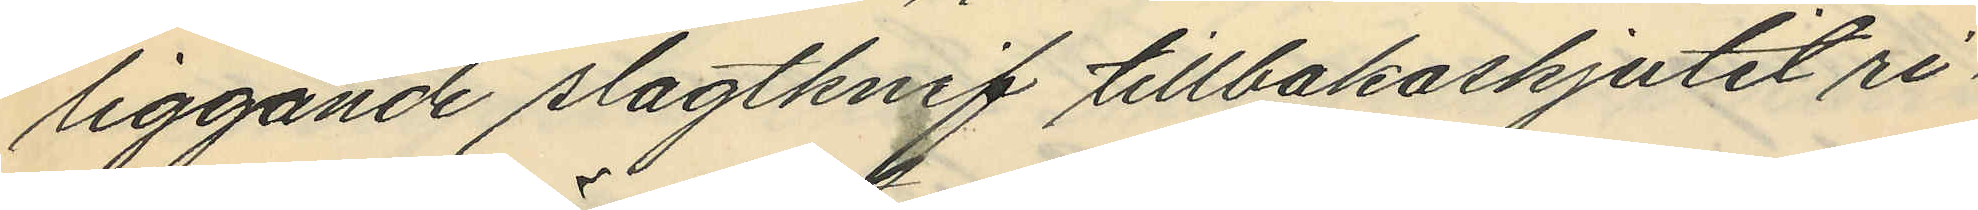liggande slagtknif tillbakaskjutit ri¬
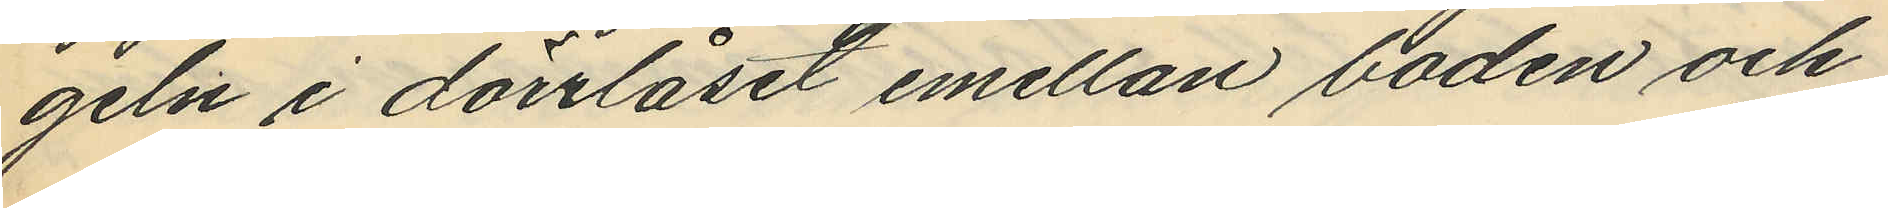geln i dörrlåset emellan boden och
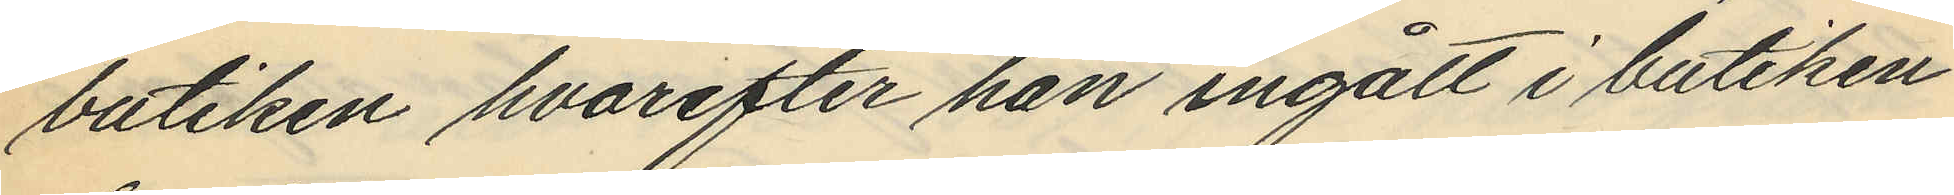butiken hvarefter han ingått i butiken
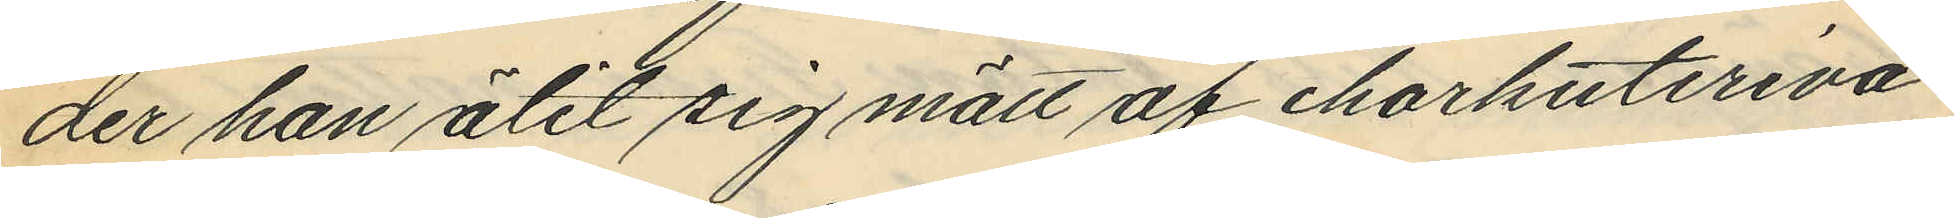der han ätit sig mätt af charkuteriva¬
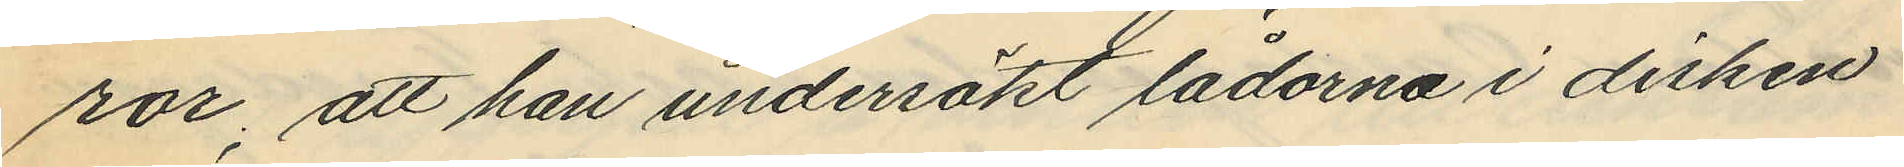ror, att han undersökt lådorna i disken
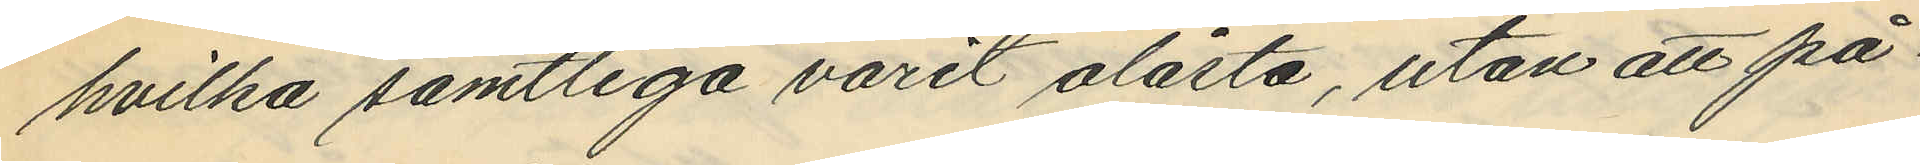hvilka samtliga varit olåsta, utan att på
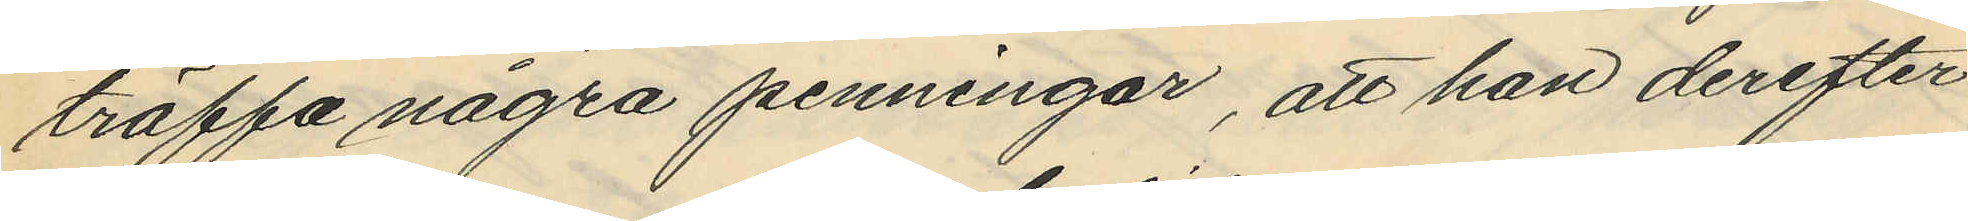träffa några penningar, att han derefter
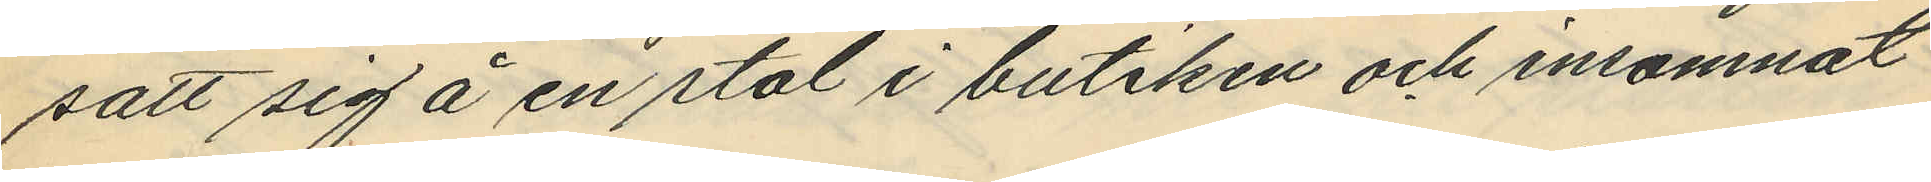satt sig å en stol i butiken och insomnat
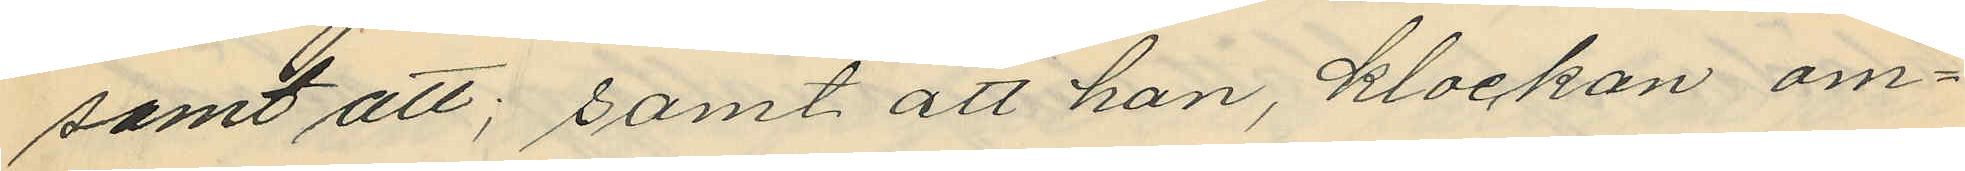samt att; samt att han, klockan om¬
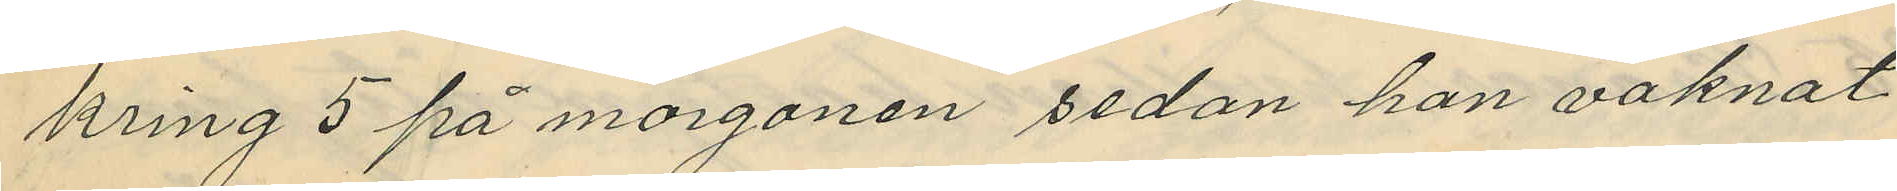kring 5 på morgonen sedan han vaknat
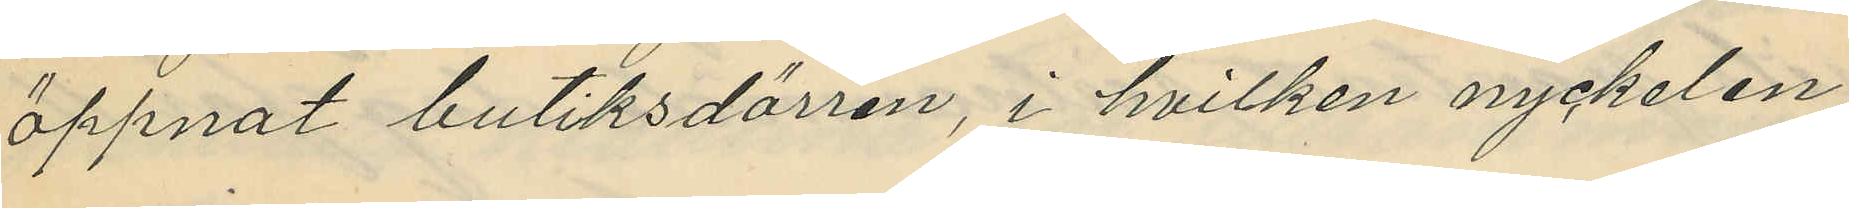öppnat butiksdörren, i hvilken nyckelen
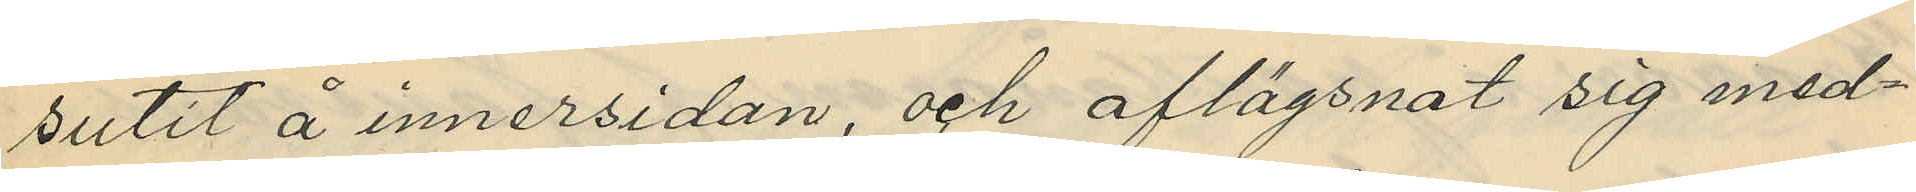sutit å innersidan, och aflägsnat sig med¬
